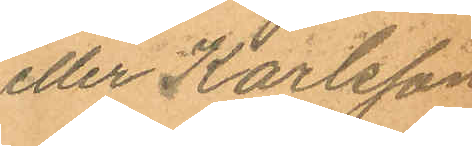eller Karlsson.
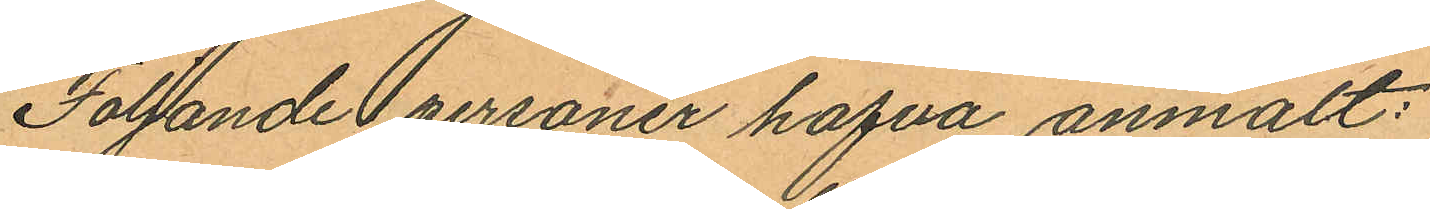Följande personer hafva anmält:
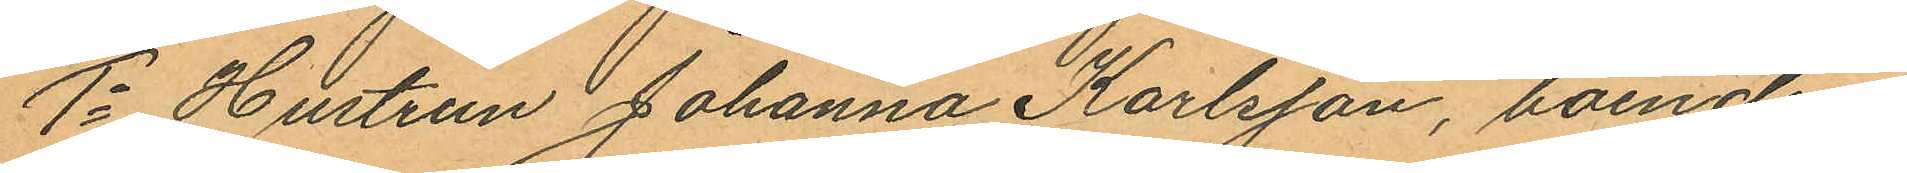1o Hustrun Johanna Karlsson, boende i
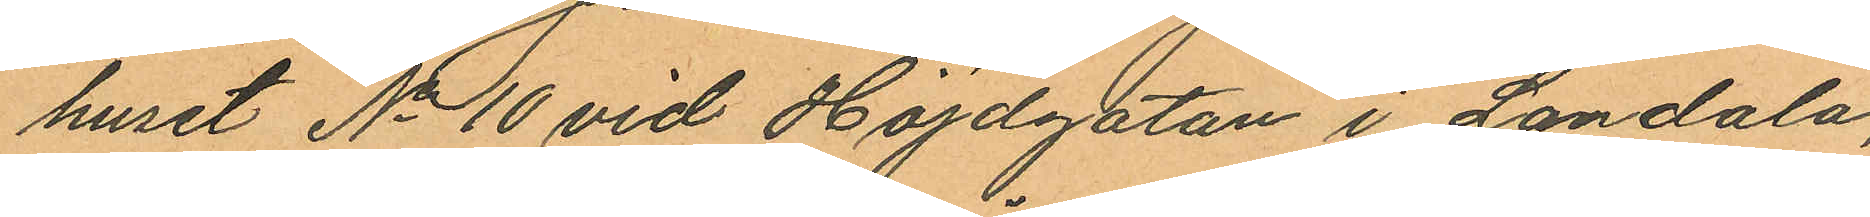huset No 10 vid Höjdgatan i Landala,
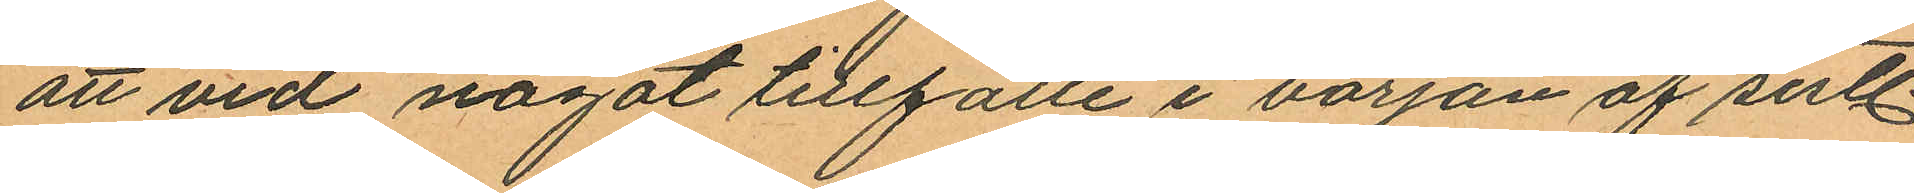att vid något tillfälle i början af sistl.
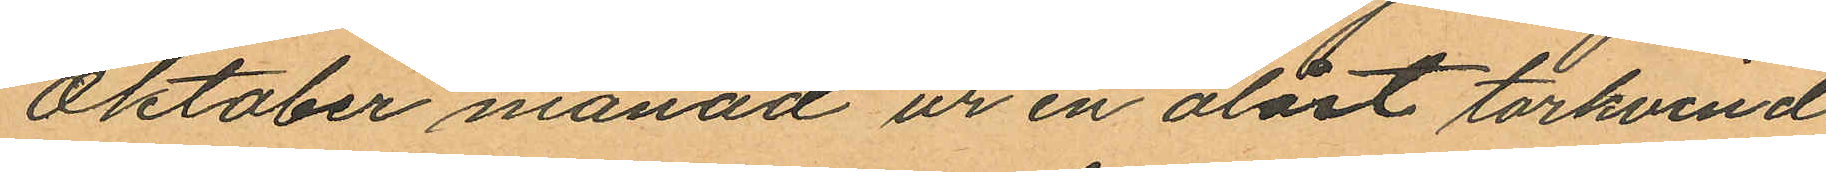Oktober månad ur en olåst torkvind
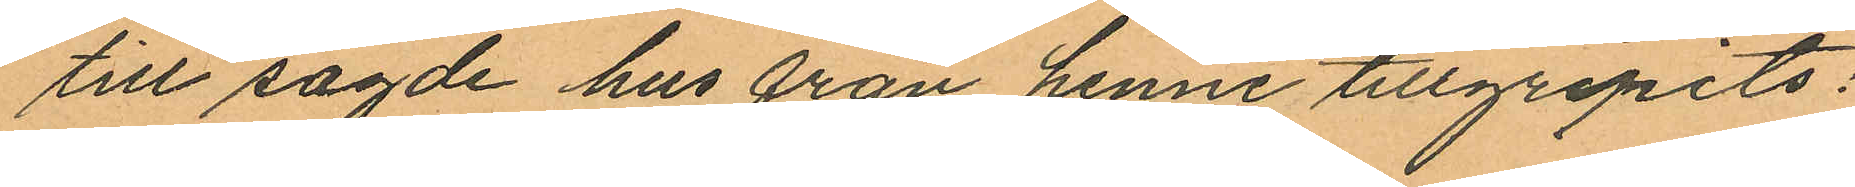till sagde hus från henne tillgripits:
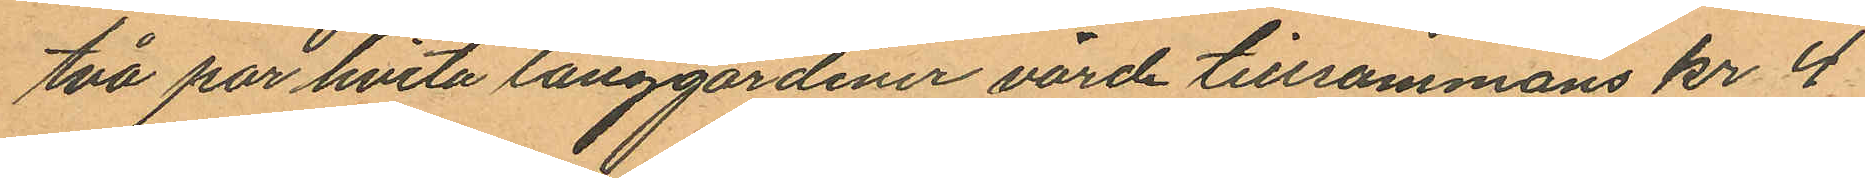två par hvita långgardiner värd tillsammans kr 4
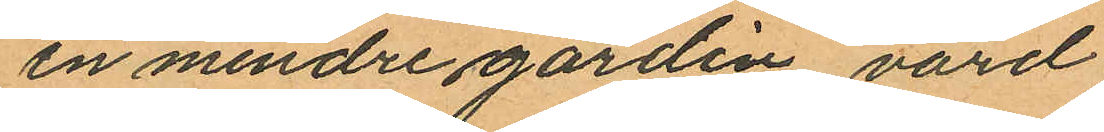en mindre gardin värd
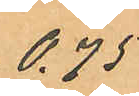0.75
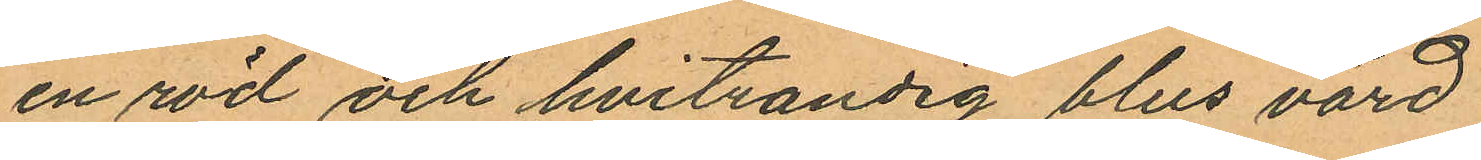en röd och hvitrandig blus värd
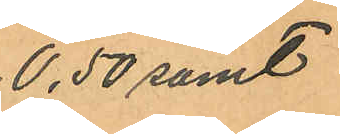0.50 samt
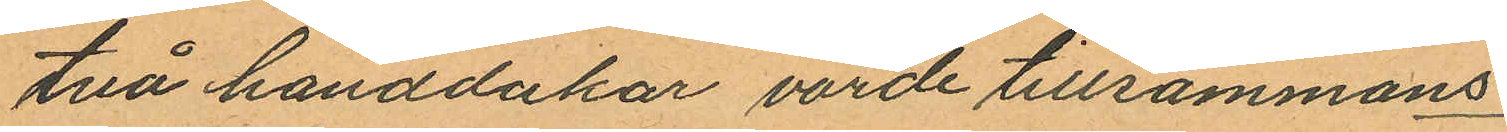två handdukar värde tillsammans
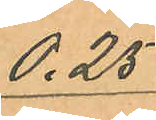0.25
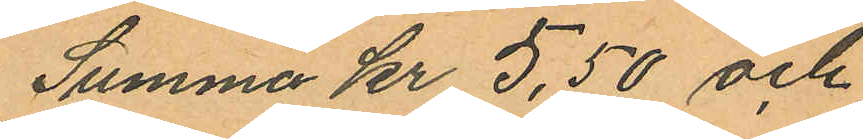Summa Kr 5,50 och
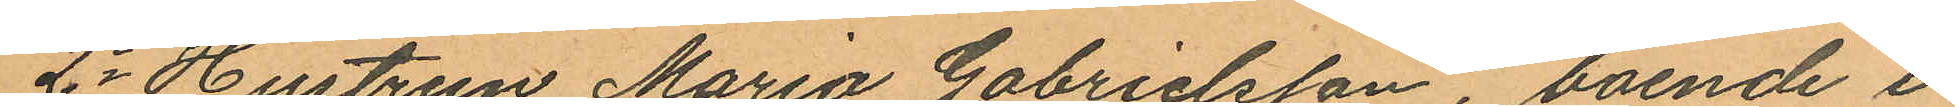2o Hustrun Maria Gabrielsson, boende i
